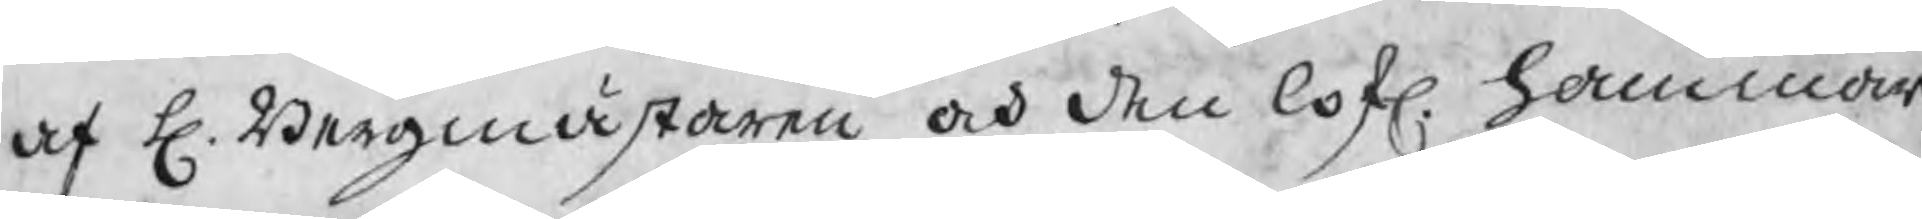af H. Bergmästaren och den lofl. hammar
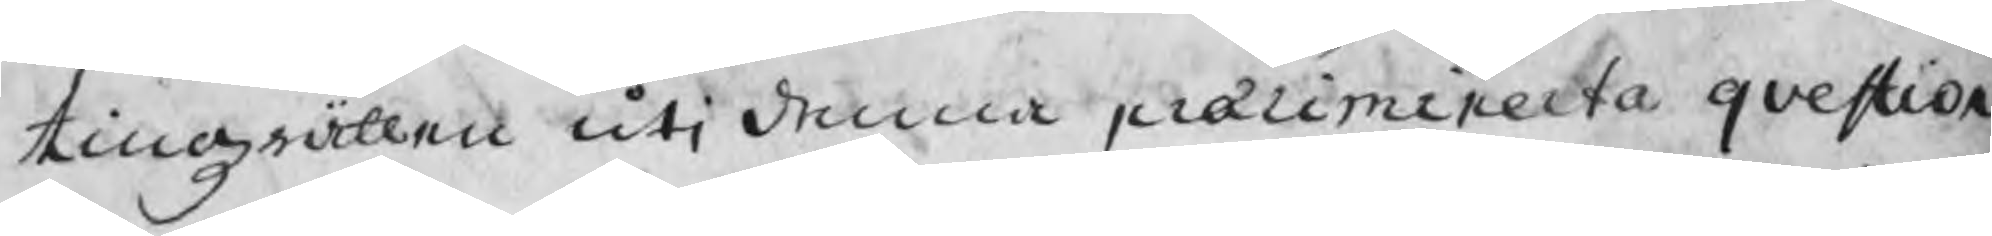tingzrätten uti denna præliminerta qvestion
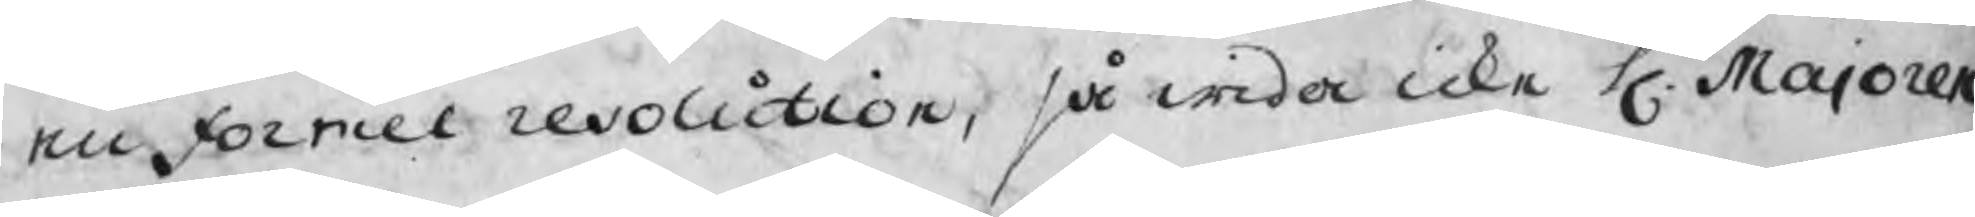en Formel resolution, så wida icke H. Majoren
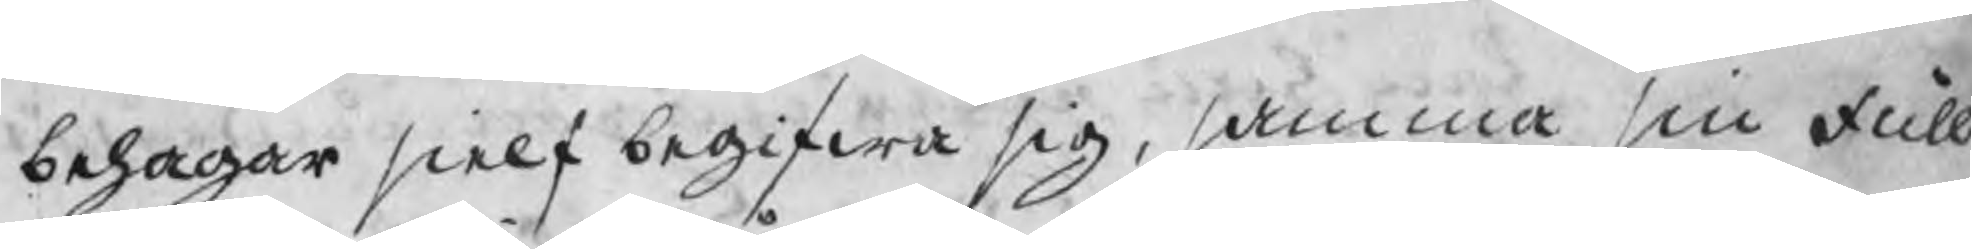behagar sielf begifwa sig, samma sin Full
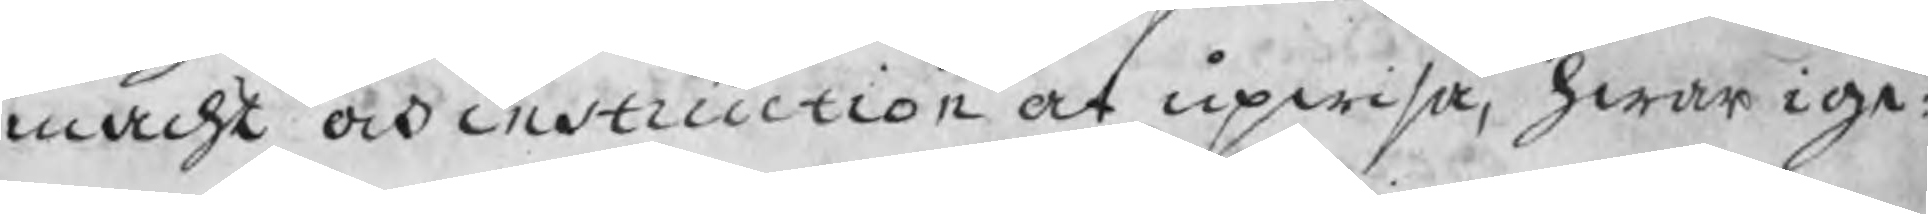macht och instruction at upwisa, hwar ige:
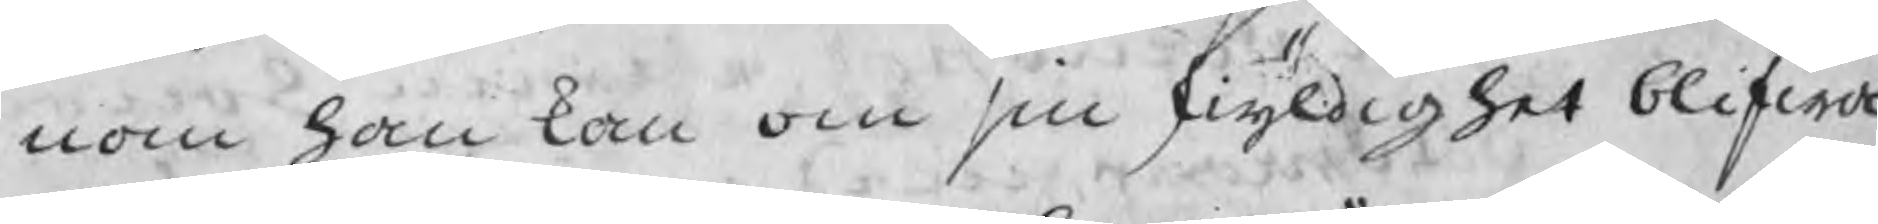nom han kan om sin skyldighet blifwa
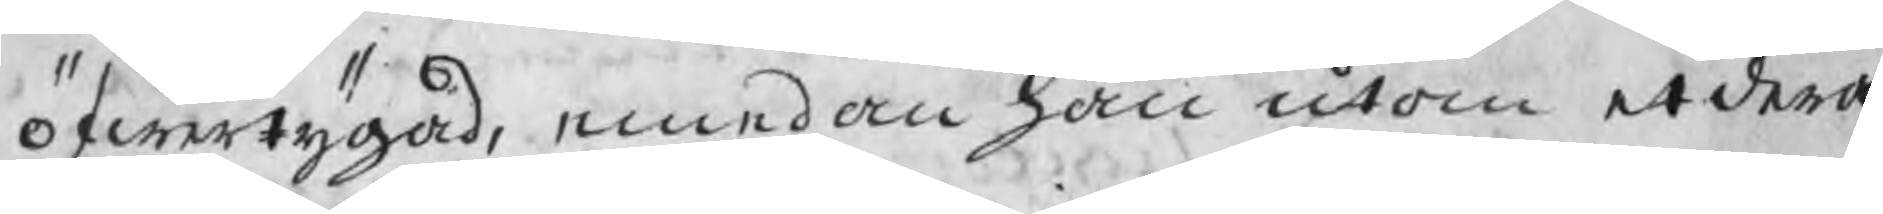öfwertygad, emedan han utom etdera
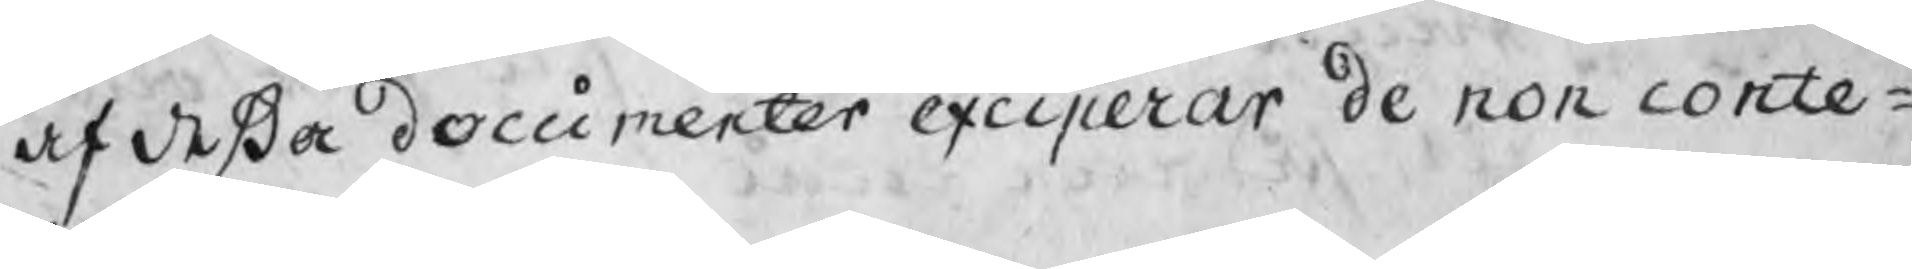af deßa documenter exciperar de non conte¬
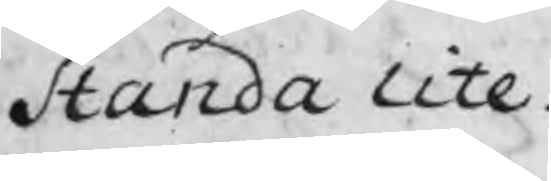standa lite.
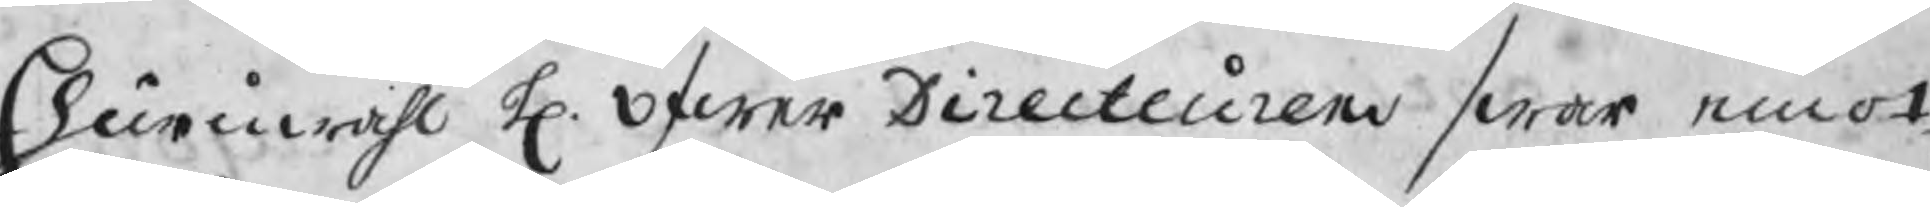Ehuruwähl H. Öfwer Directeurens swar emot
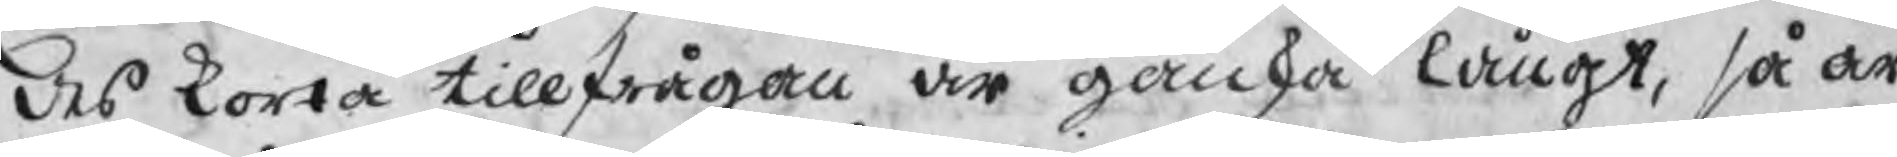des korta tillfrågan är ganska långt, så är
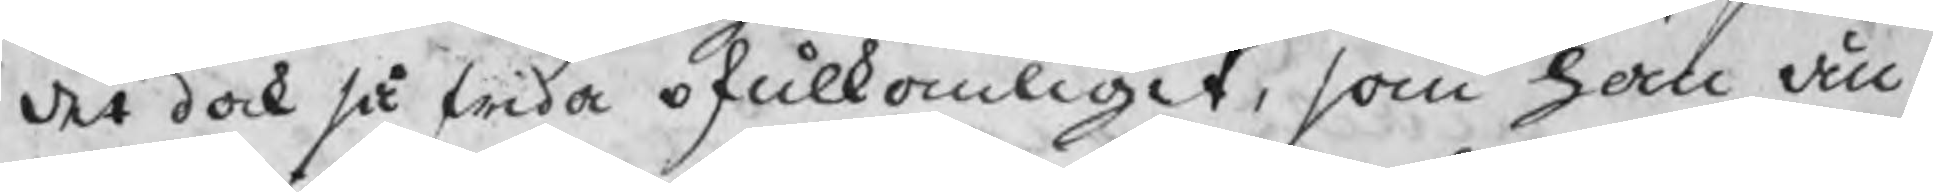det dock så wida ofulkomligit, som han än¬
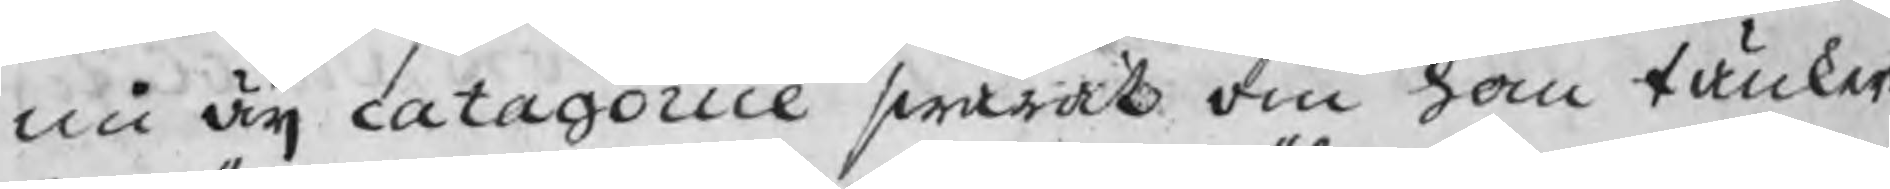nu äij catagorice swarat om han tänker
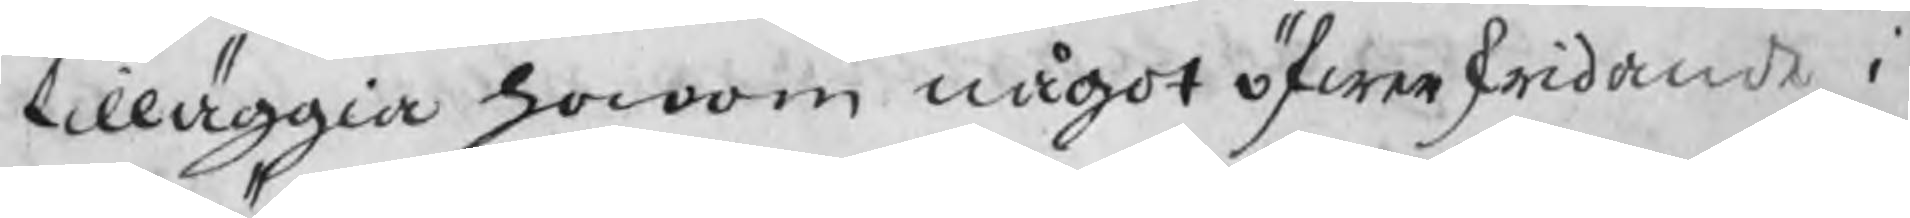tilläggia honom något öfwerskridande i
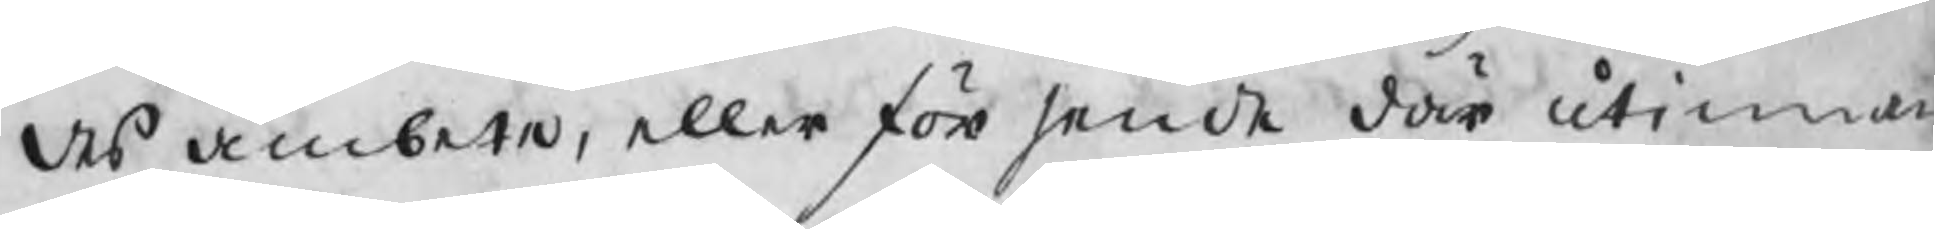des ämbete, eller försende där utinnan
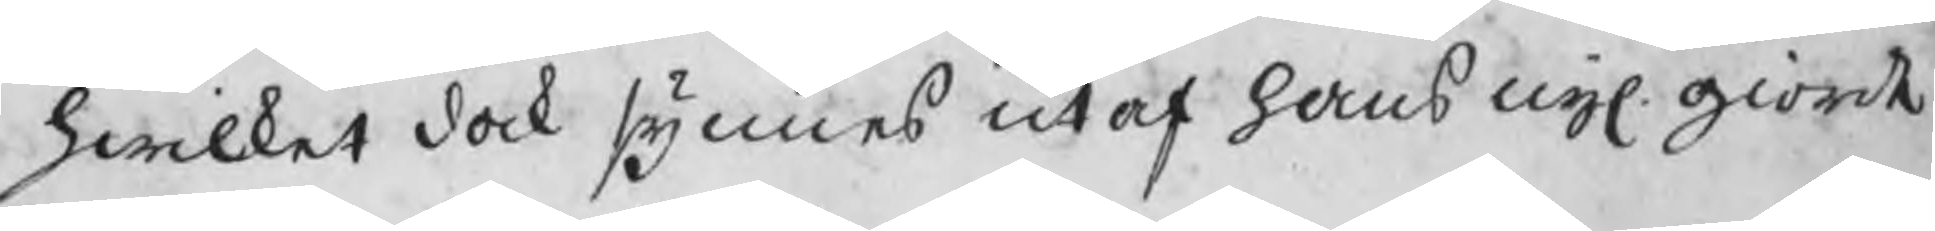hwilket dock synnes utaf hans nyl. giorde
